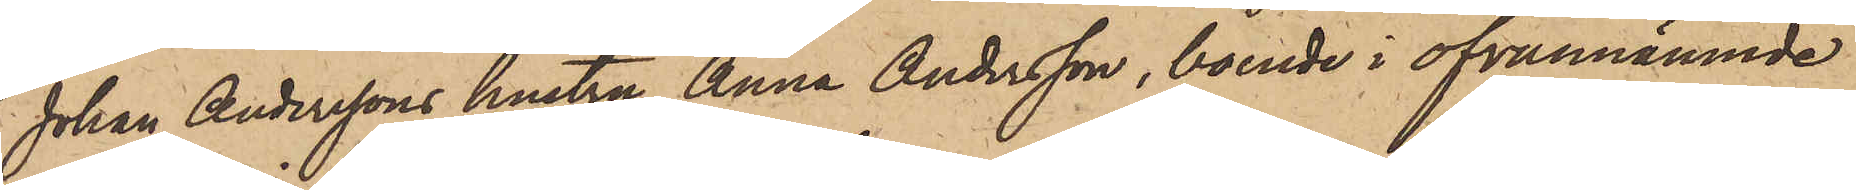Johan Anderssons hustru Anna Andersson, boende i ofvannämnde
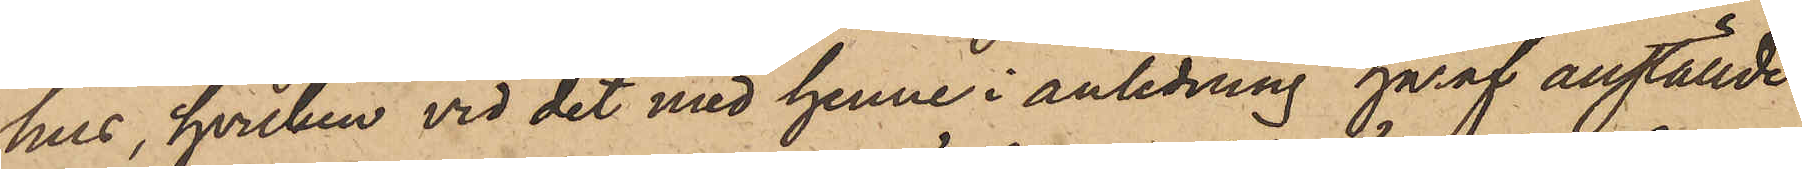hus, hvilken vid det med henne i anledning häraf anställde
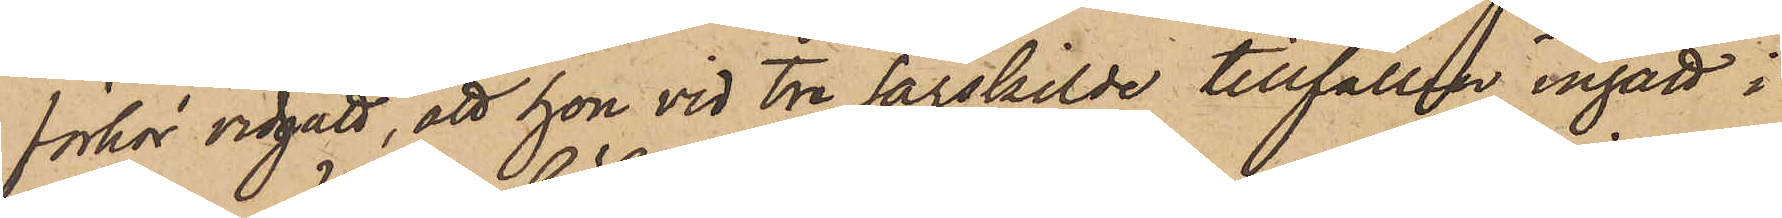förhör vidgått, att hon vid tre särskilde tillfällen ingått i
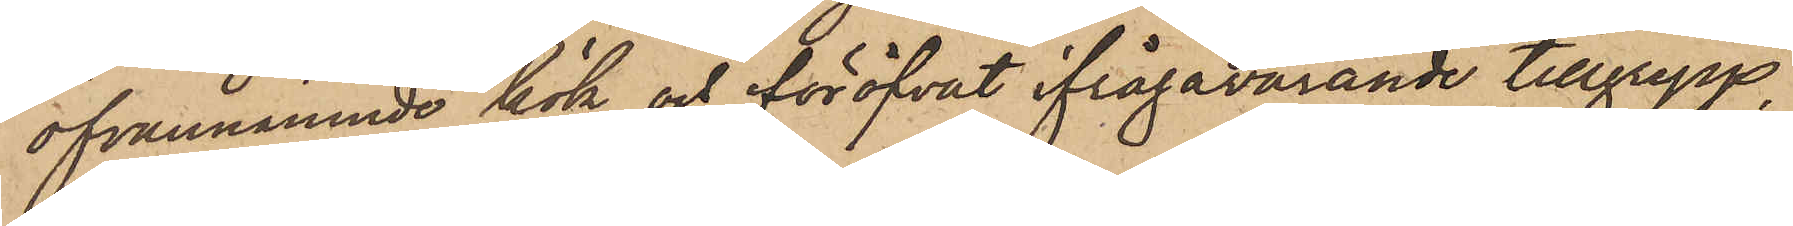ofvannämnde kök och föröfvat ifrågavarande tillgrepp,
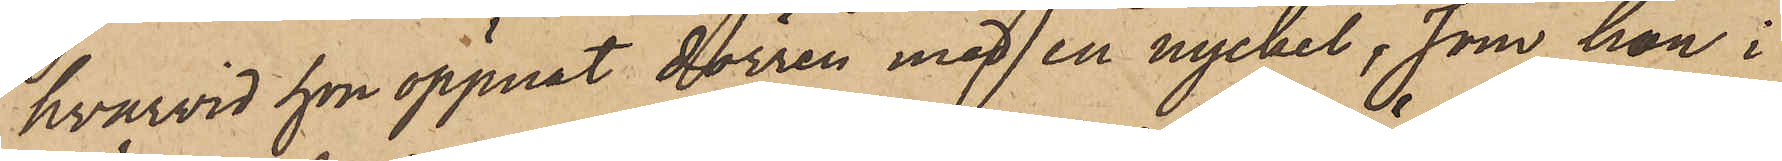hvarvid hon öppnat dörren med en nyckel, som hon i
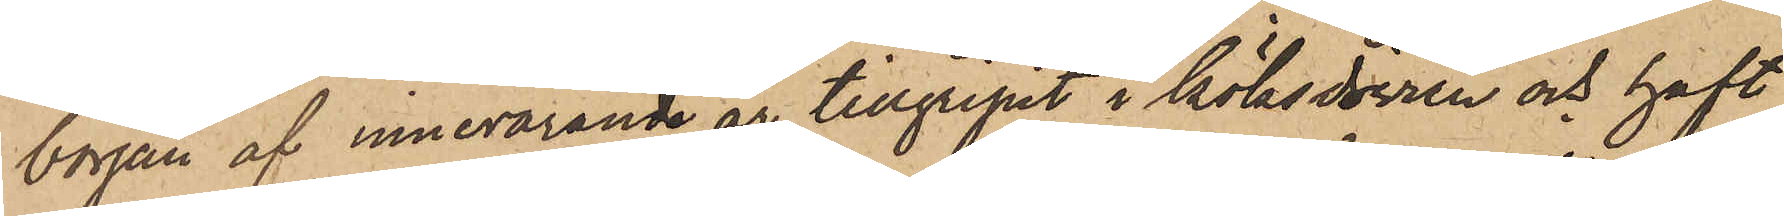början af innevarande år tillgripit i köksdörren och haft
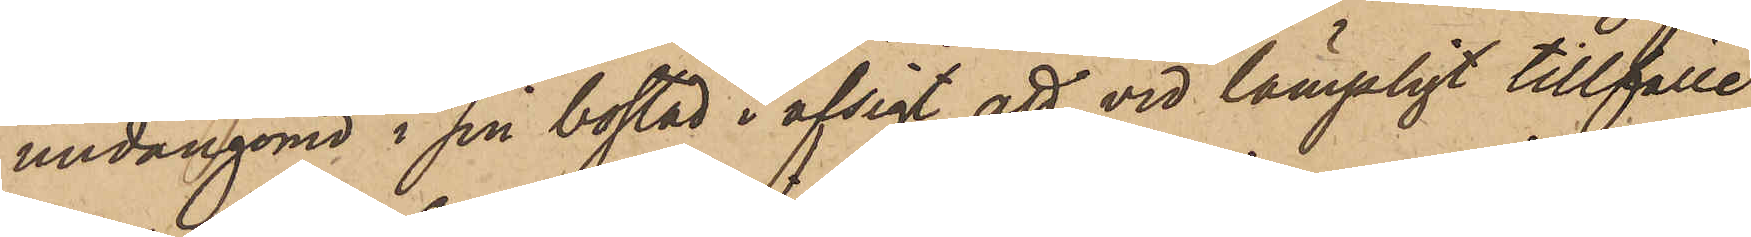undangömd i sin bostad i afsigt att vid lämpligt tillfälle
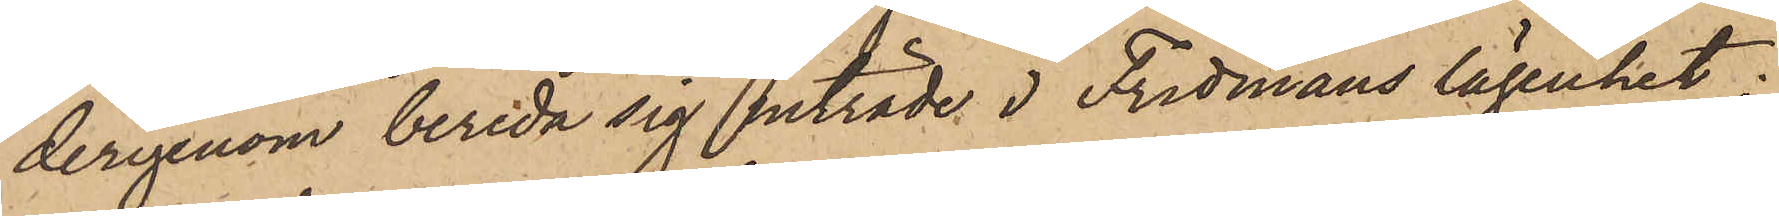derigenom bereda sig inträde i Fridmans lägenhet;
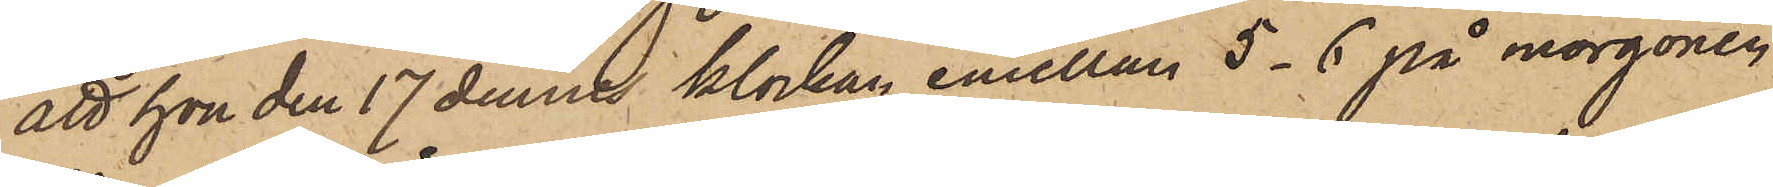att hon den 17 dennes klockan emellan 5 - 6 på morgonen
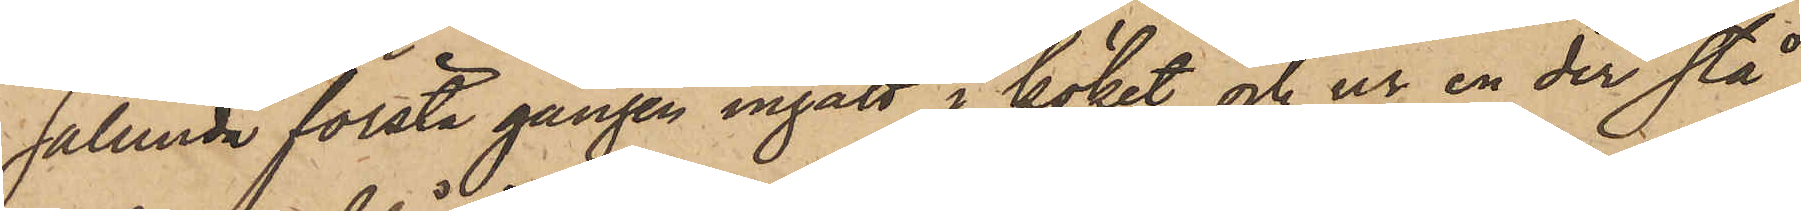sålunda första gången ingått i köket och ur en der stå¬
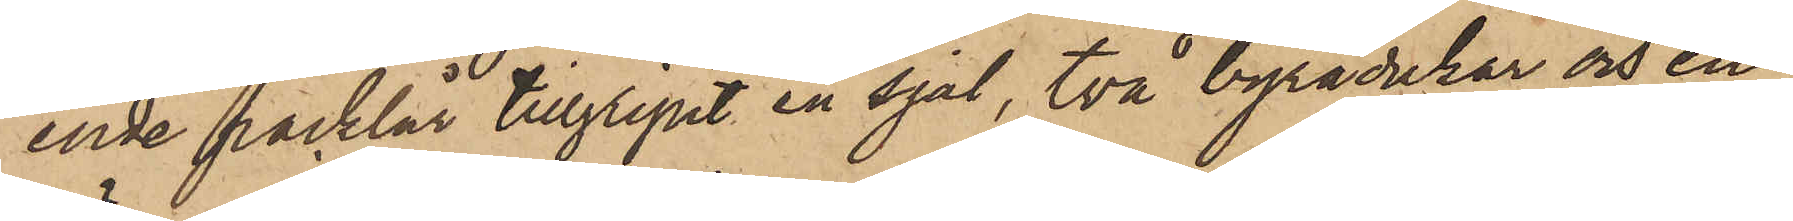ende packlår tillgripit en sjal, två byrådukar och en
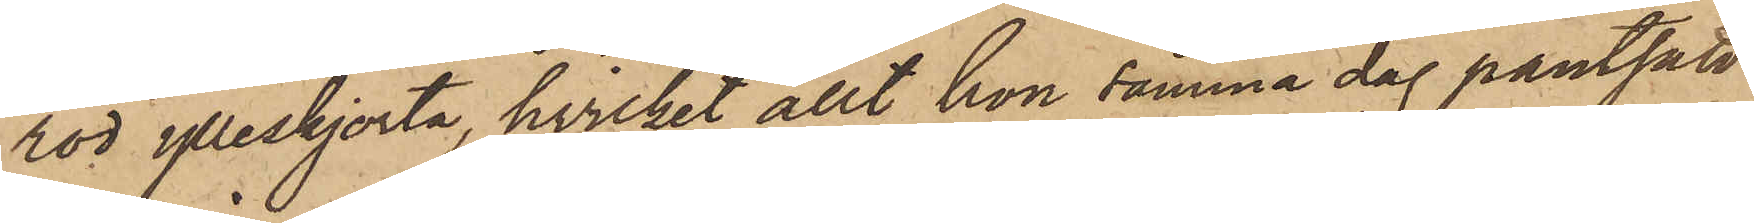röd ylleskjorta, hvilket allt hon samma dag pantsatt
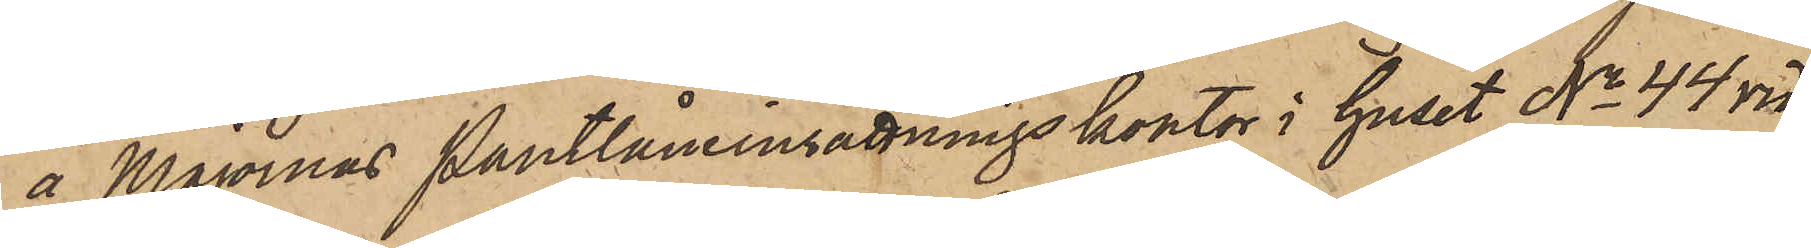å Majornas Pantlåneinsättningskontor i huset No 44 vid
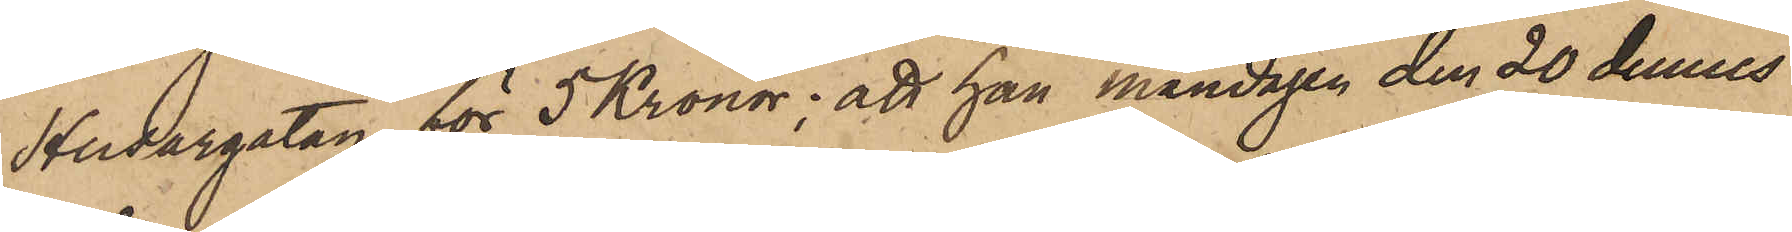Husargatan för 5 Kronor; att han måndagen den 20 dennes
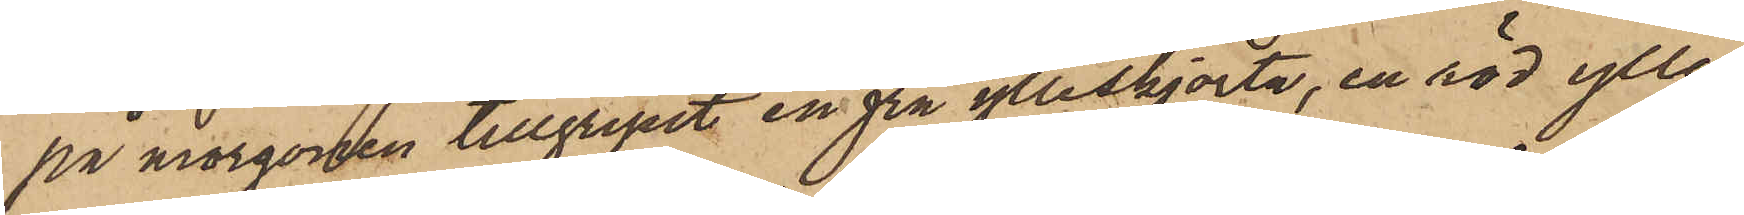på morgonen tillgripit en grå ylleskjorta, en röd ylle¬
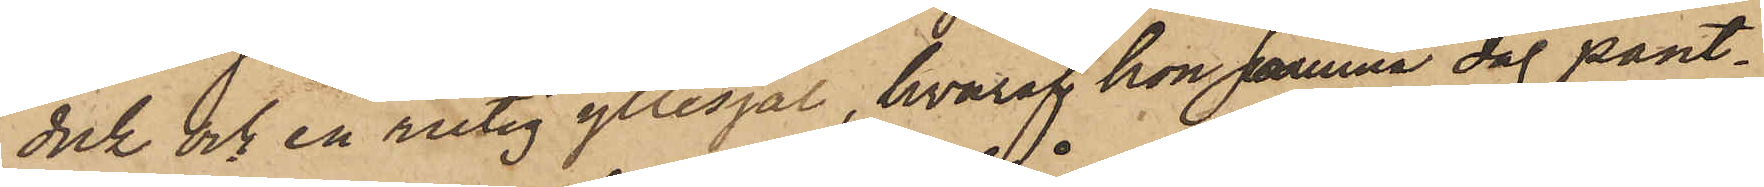duk och en rutig yllesjal, hvaraf hon samma dag pant¬
